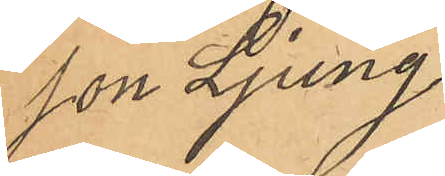son Ljung
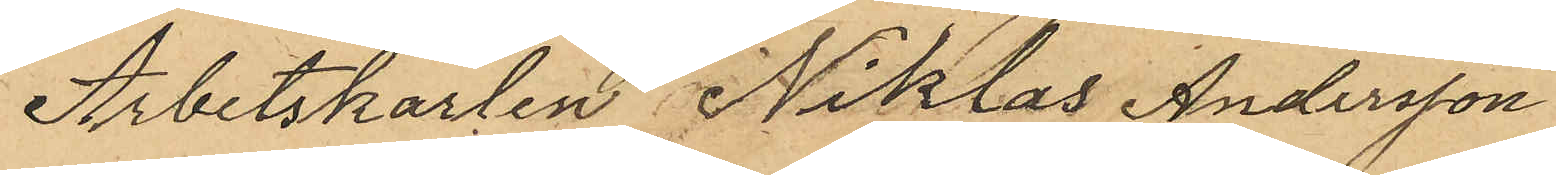Arbetskarlen Niklas Andersson
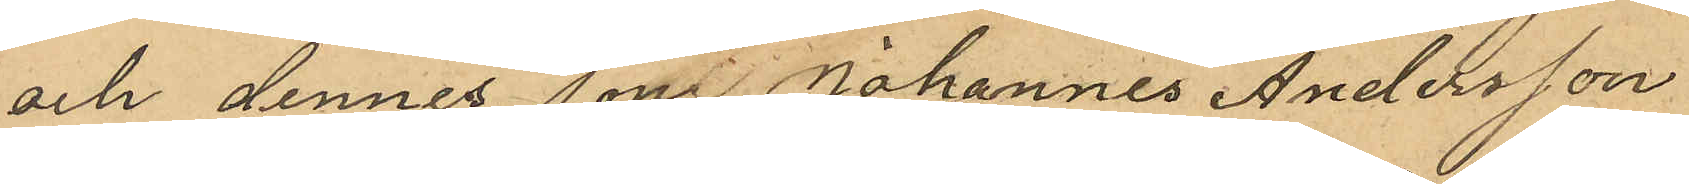och dennes son Johannes Andersson
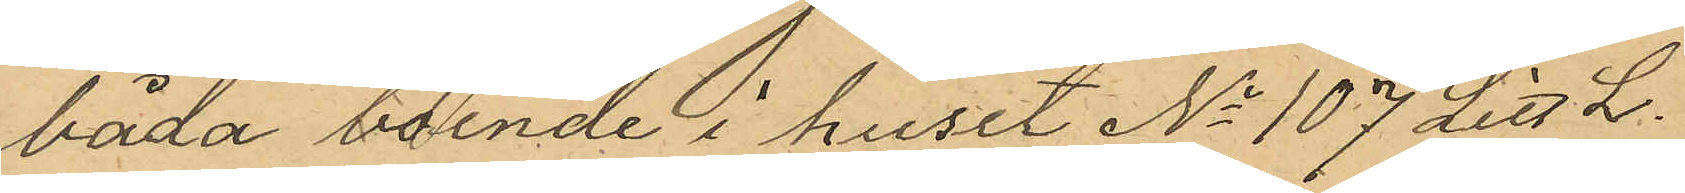båda boende i huset No 107 Litt L.
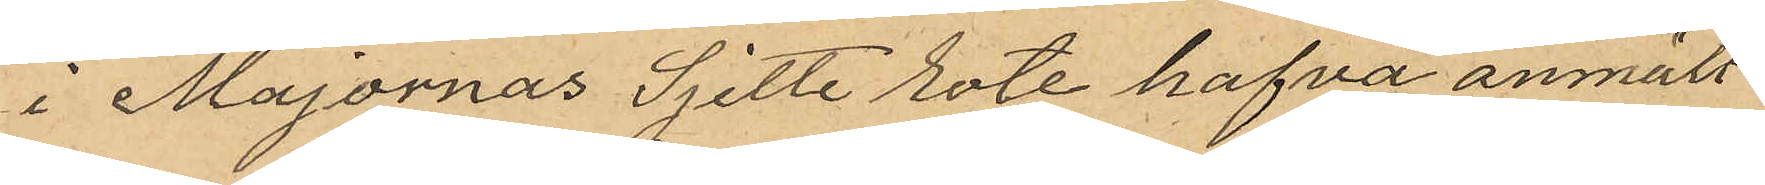i Majornas Sjette rote hafva anmält
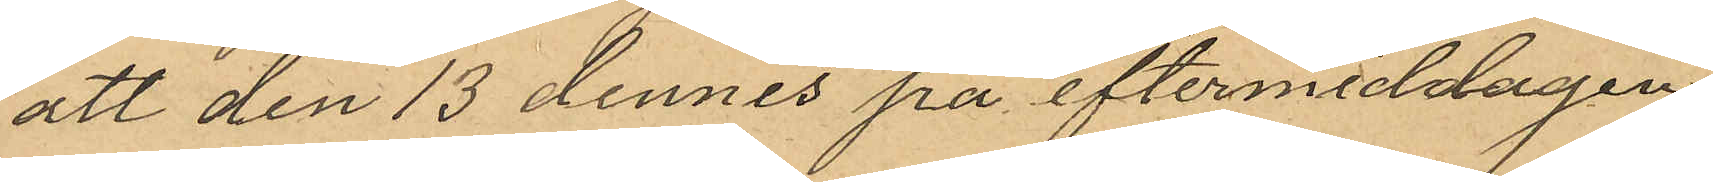att den 13 dennes på eftermiddagen
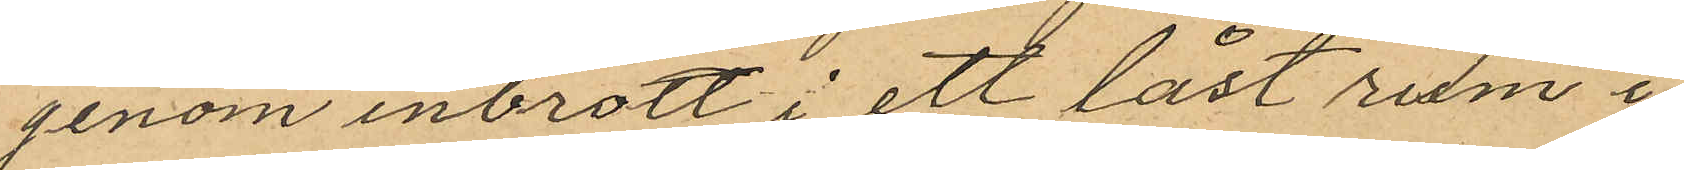genom inbrott i ett låst rum i
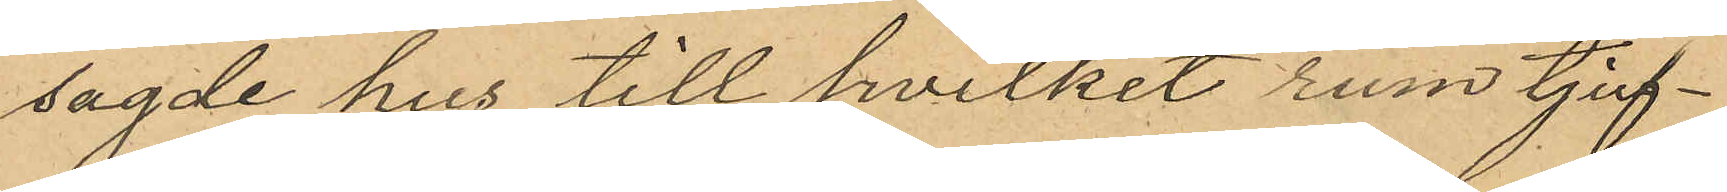sagde hus till hvilket rum tjuf¬
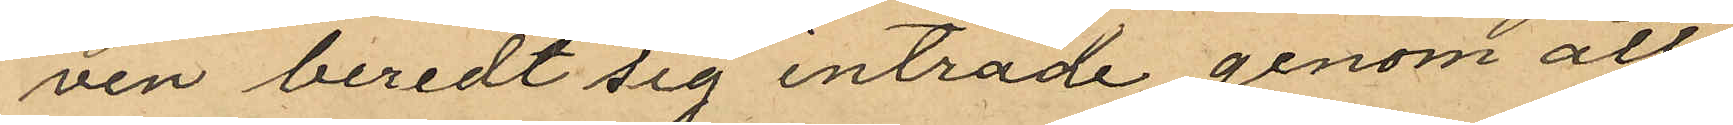ven beredt sig inträde genom all
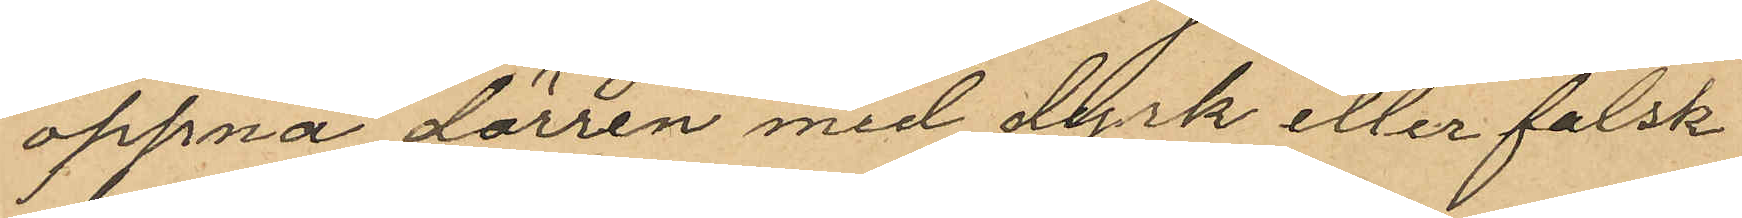öppna dörren med dyrk eller falsk
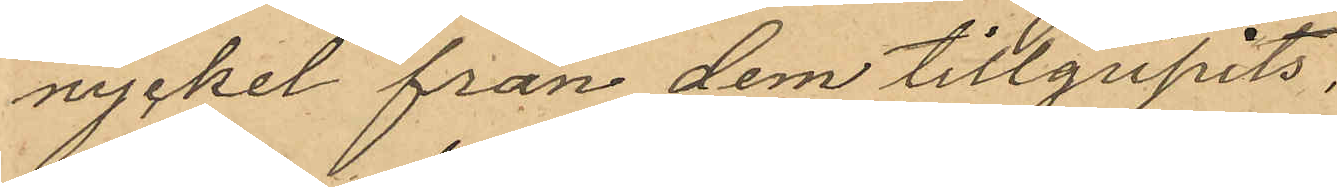nyckel från dem tillgripits:
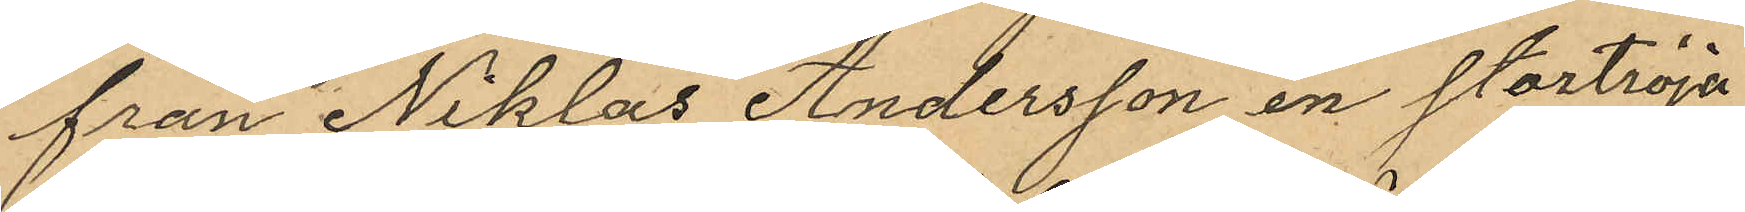från Niklas Andersson en stortröja
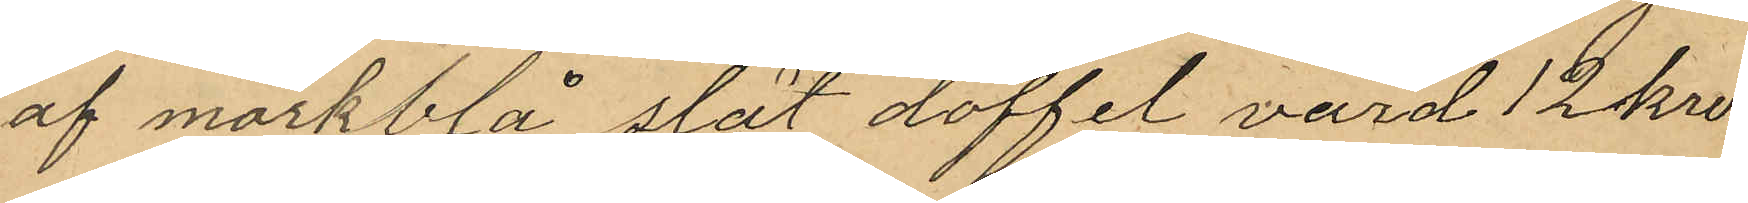af mörkblå slät doffel, värd 12 kro¬
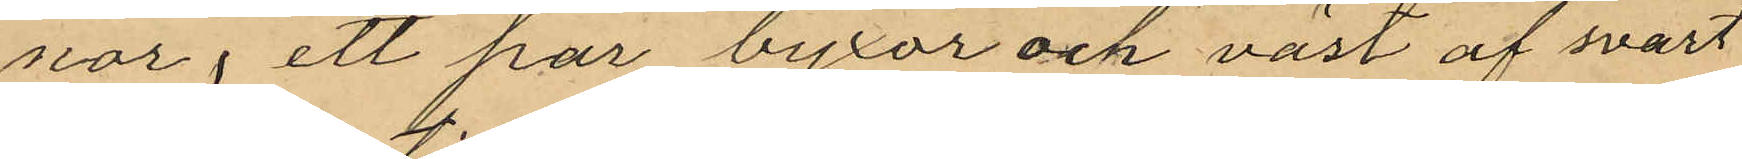nor, ett par byxor och väst af svart
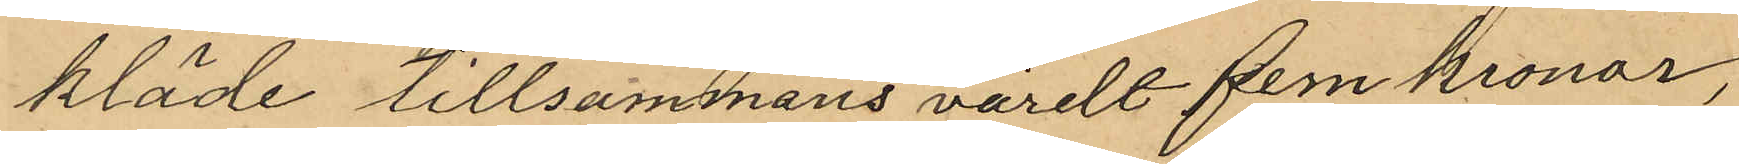kläde tillsammans värde fem kronor,
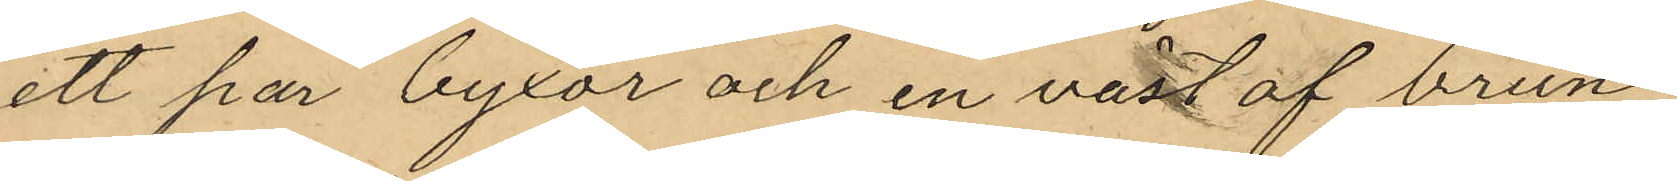ett par byxor och en väst af brun
